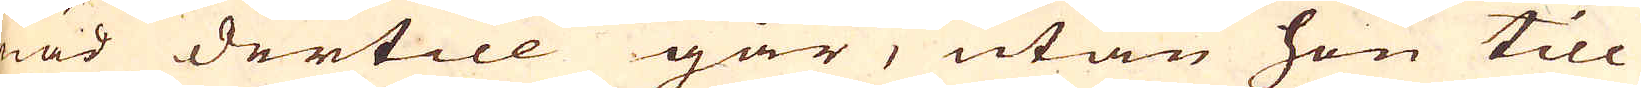nad dertill går, utan hon till
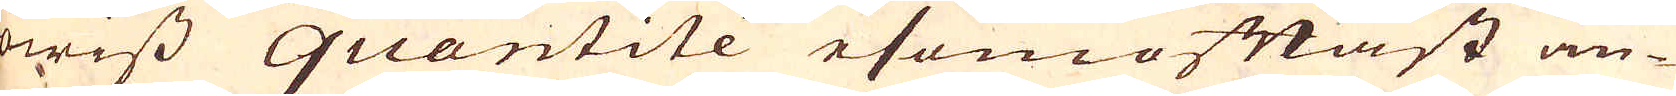wiss quantitée esomoftast an-
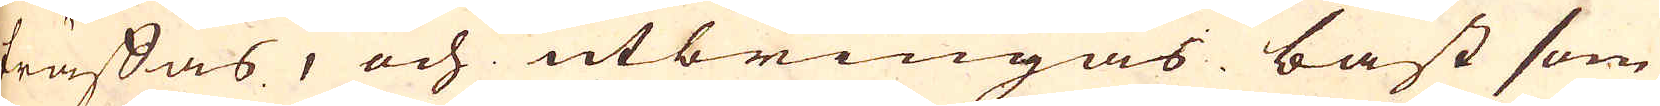träffas, och utbringas bäst som
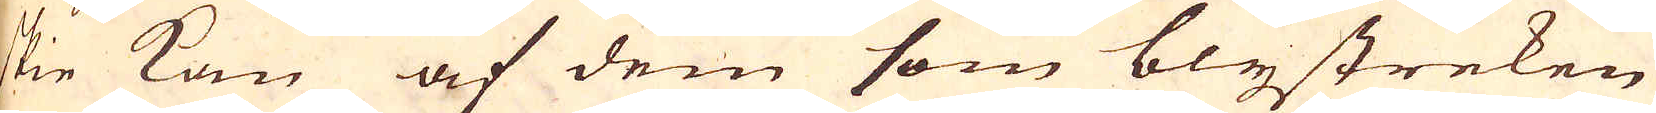skie kan af dem som blystreken
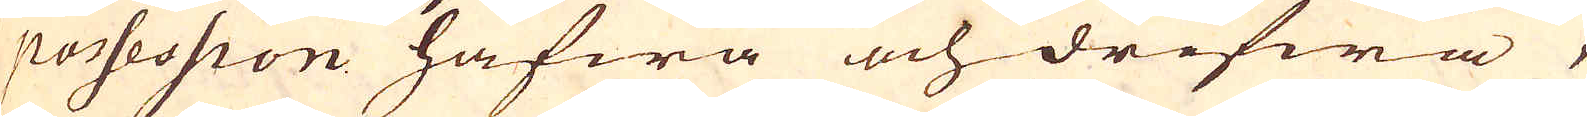i possession hafwa och drifwa,
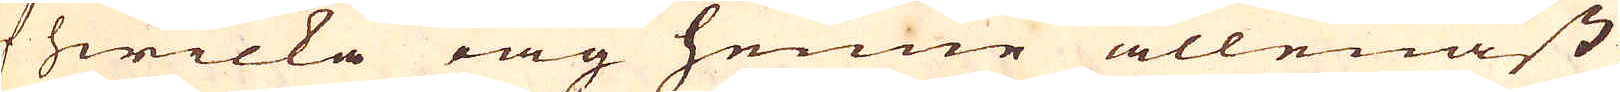af hwilka iag henne allenast
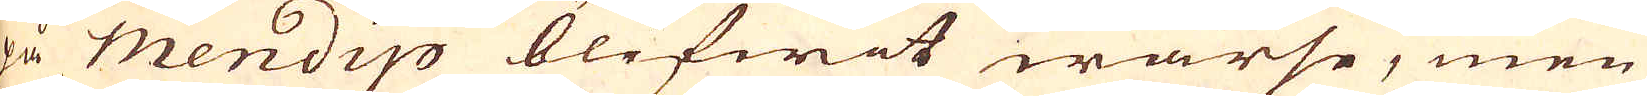på mendip blefwit warse, men
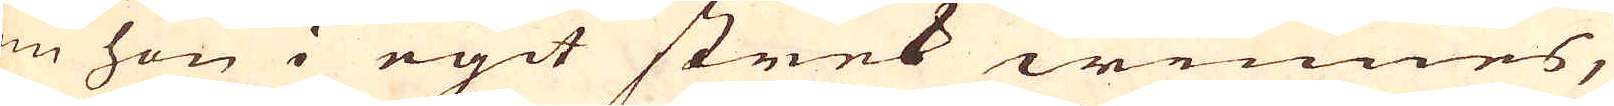om hon i egit strek winnes,
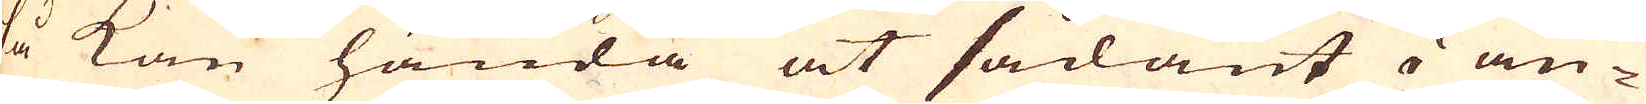så kan hända at sådant i an-
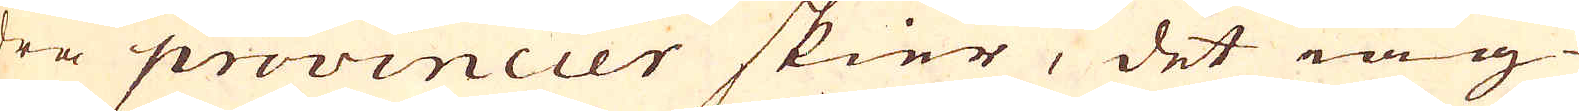dra provinccer skier, det iag
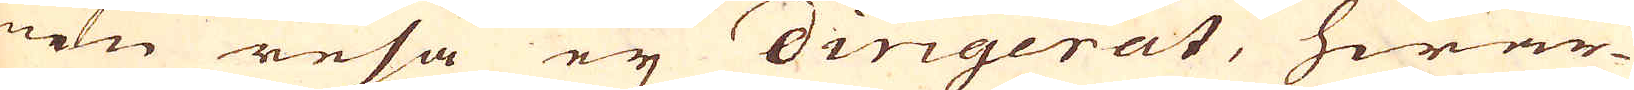min resa ej dirigerat, hwar-
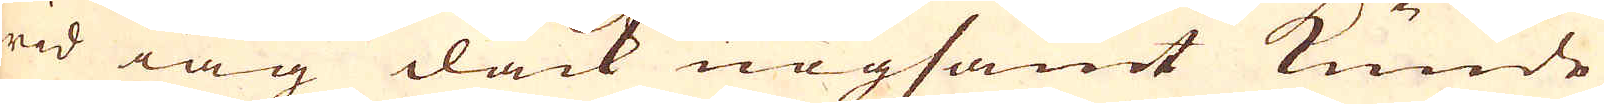wid iag dåck nogsamt kunde
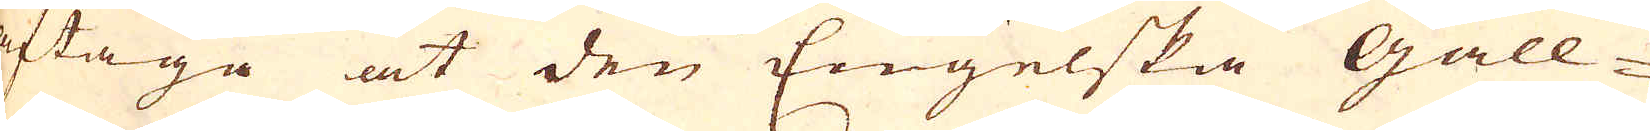aftaga at den Engelska Gall-
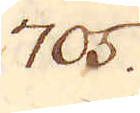705.
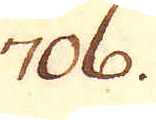706.
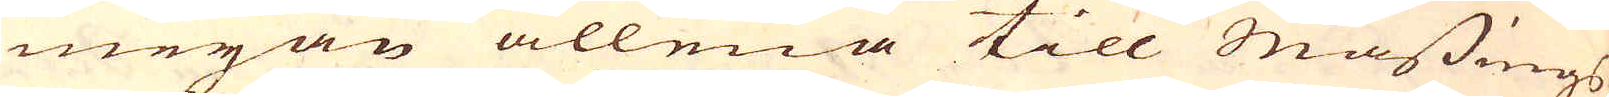meyan allena till Mässings
